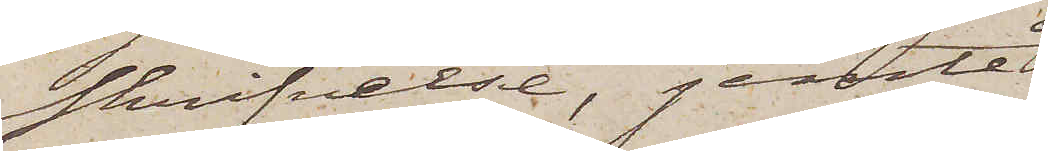skrifvelse, jemte
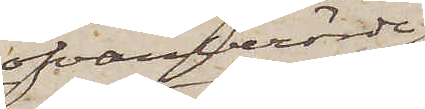ofvanberörde
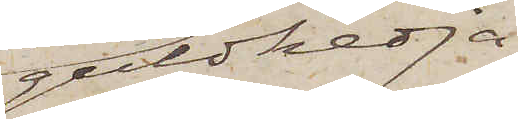guldkedja
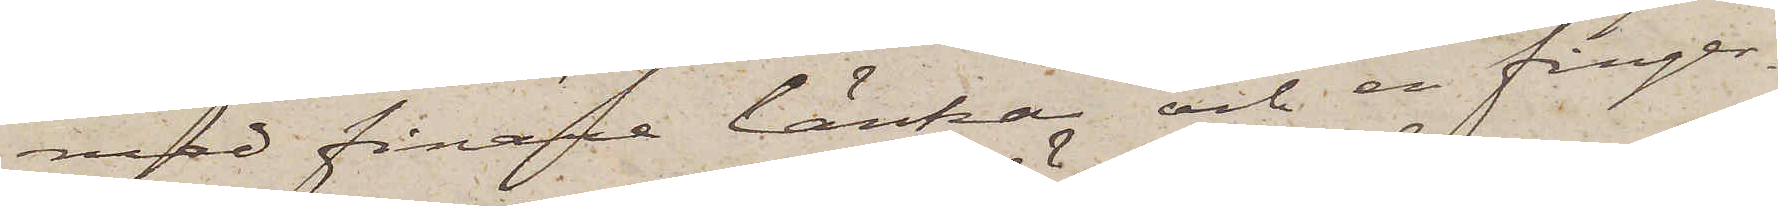med finare länkar och en finger¬
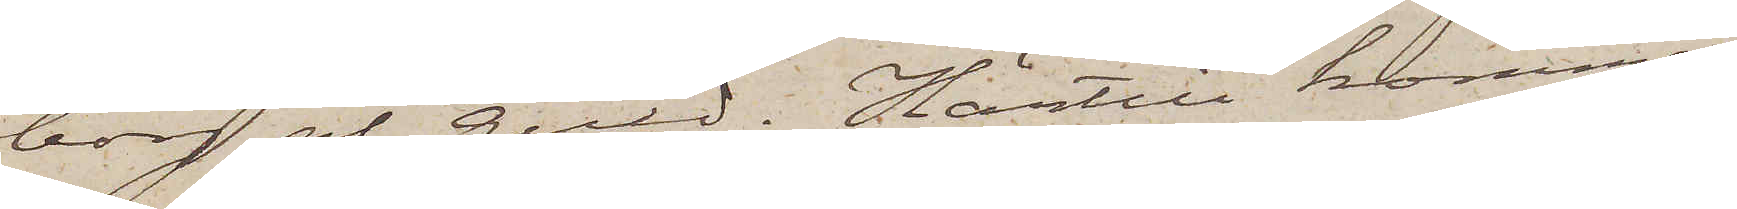borg af guld. Härtill kommer
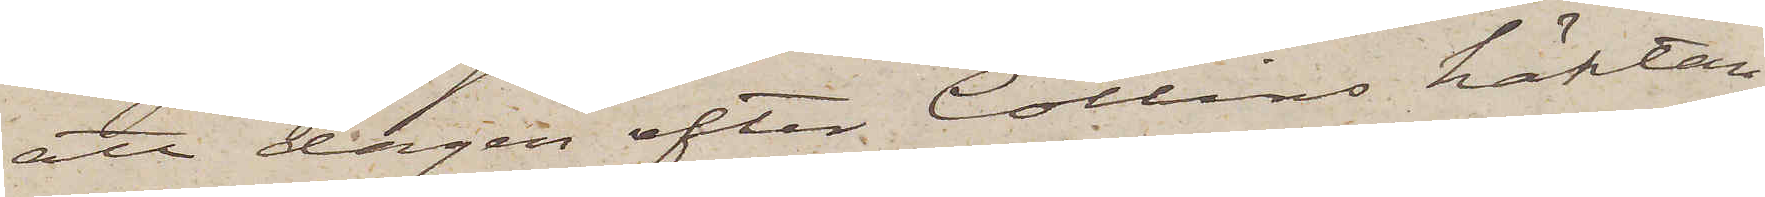att dagen efter Collins häktan¬
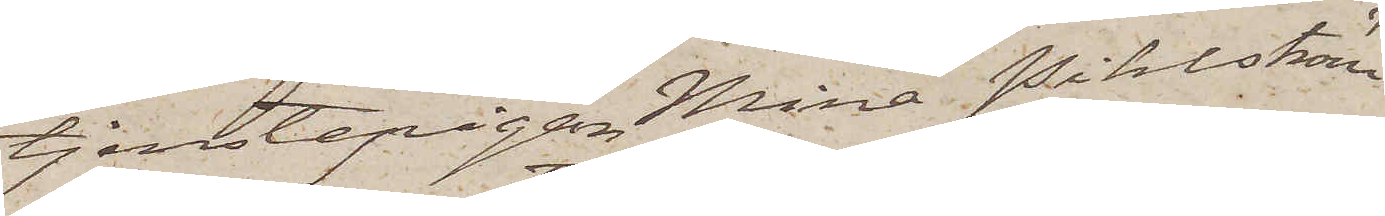tjenstepigan Mina Pihlström
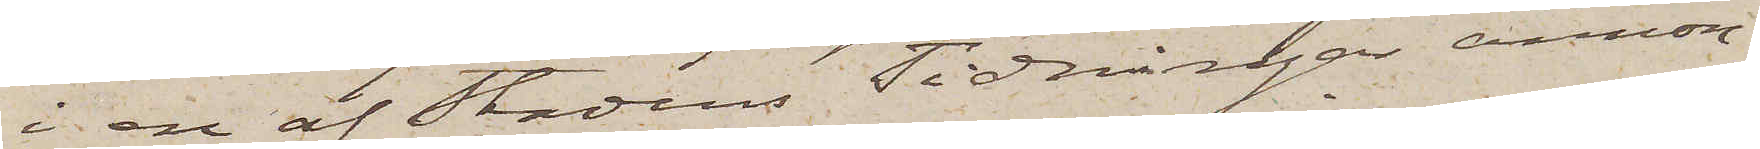i en af Stadens Tidningar annon¬
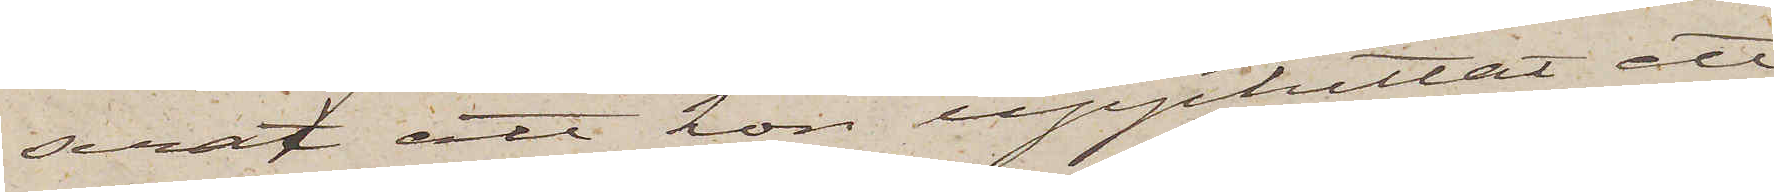serat att hon upphittat ett
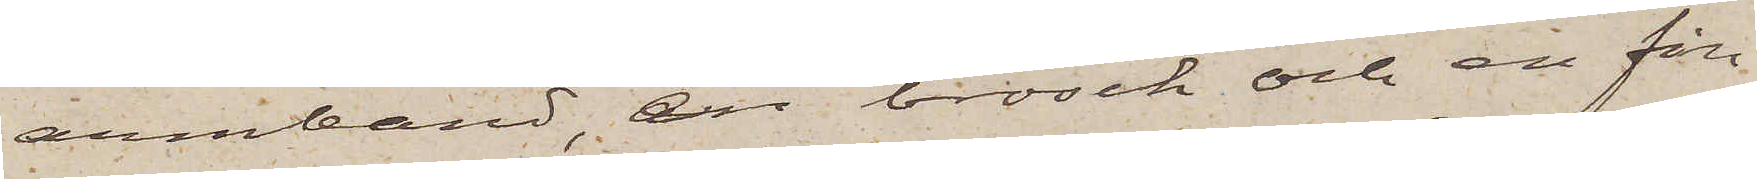armband, en brosch och en fin¬
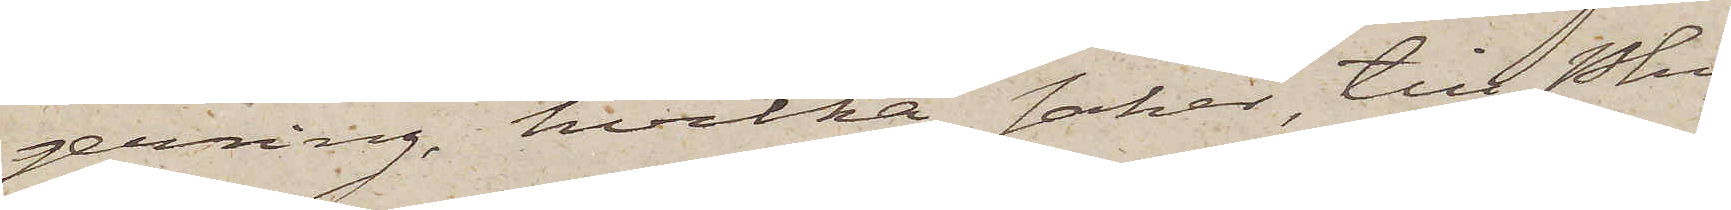gerring, hvilka saker, till Pkn
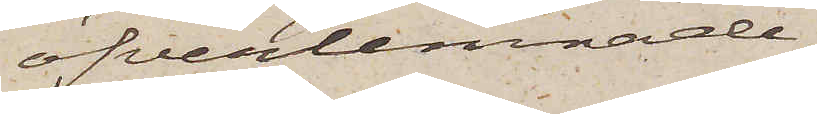öfverlemnade,
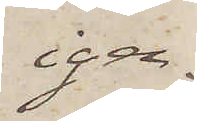igen¬
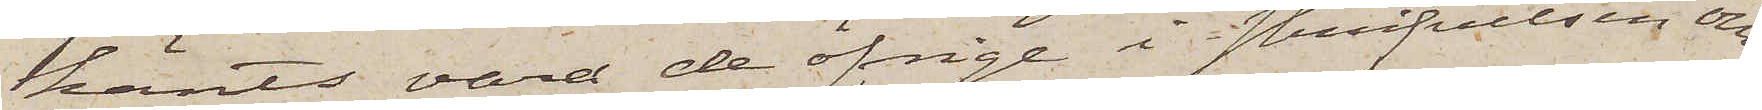känts vara de öfrige i skrifvelsen om¬
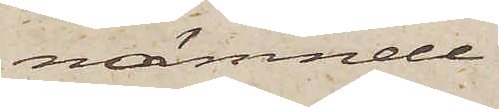nämnde
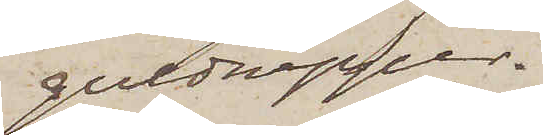guldnipper.
